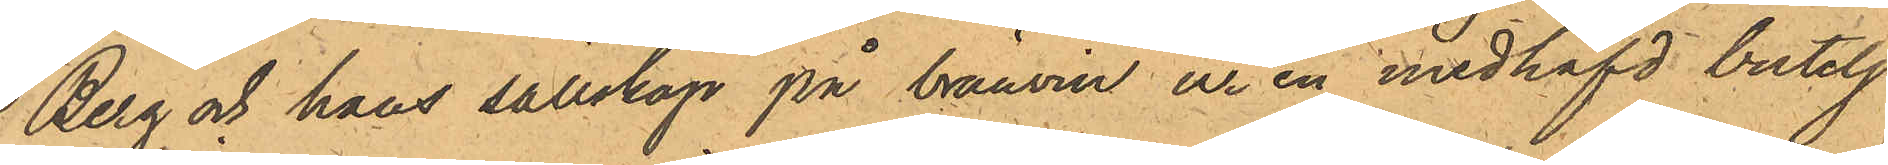Berg och hans sällskap på bränvin ur en medhafd butelj
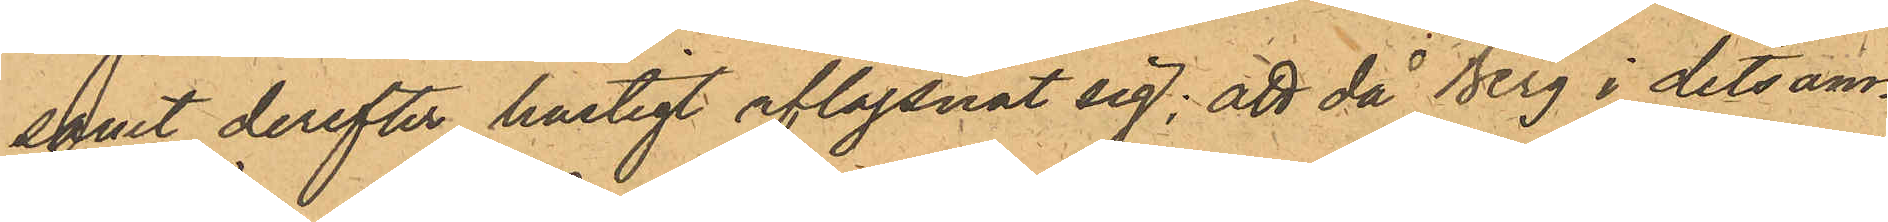samt derefter hastigt aflägsnat sig; att då Berg i detsam¬
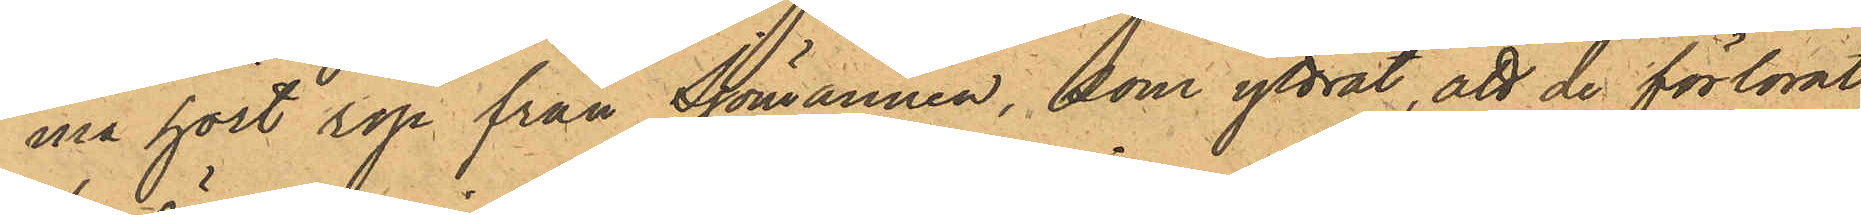ma hört rop från Sjömännen, som yttrat, att de förlorat
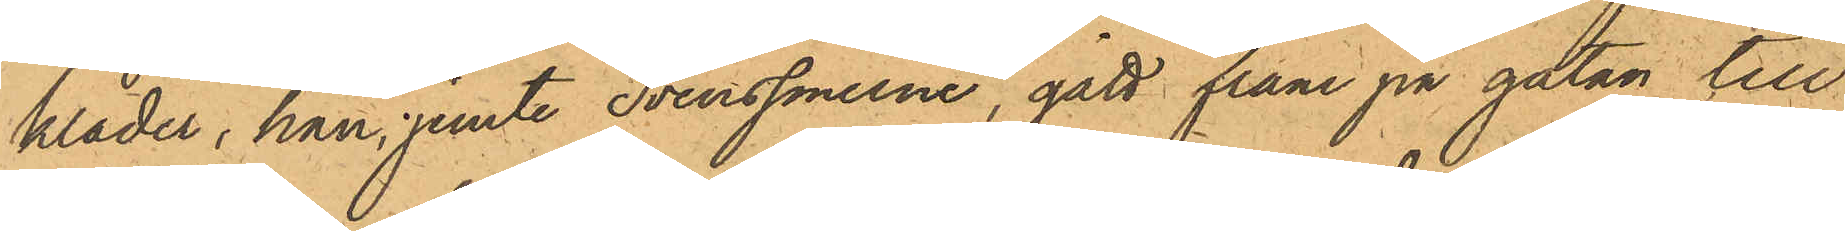kläder, han, jemte Svenssönerne, gått fram på gatan till
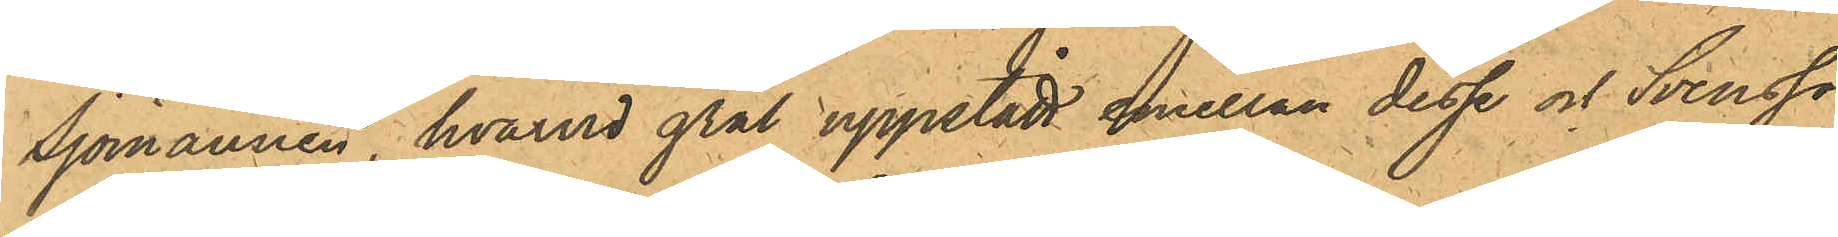Sjömännen, hvarvid gräl uppstått emellan desse och Svenssö¬
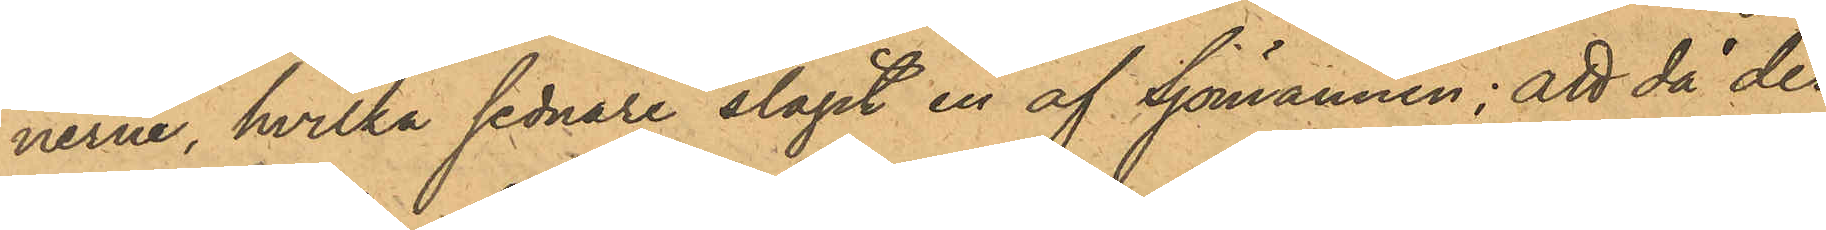nerne, hvilka sednare slagit en af Sjömannen; att då der¬
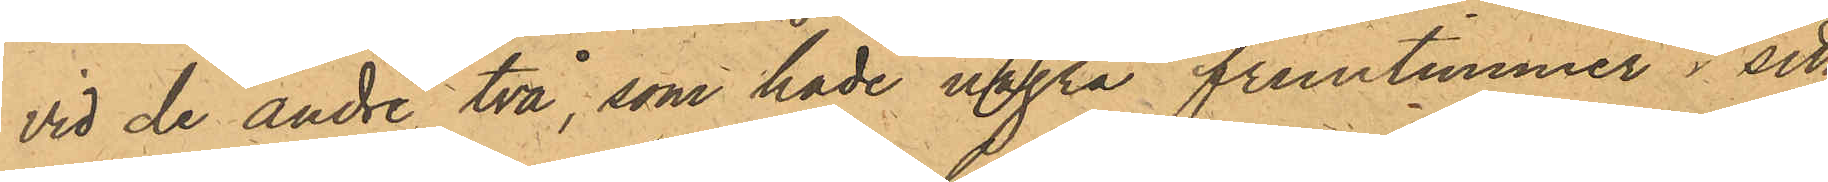vid de andre två som hade några fruntimmer i sitt
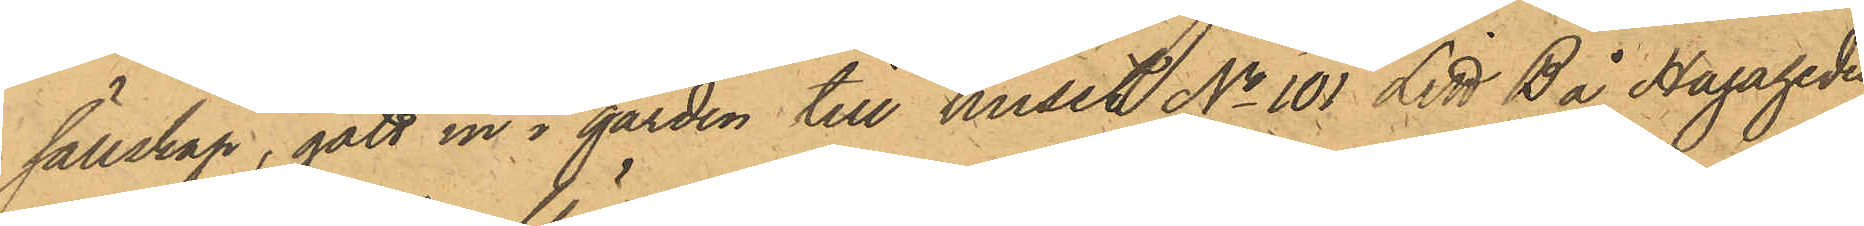sällskap, gått in i gården till huset No 101 Litt B å Hagaheden
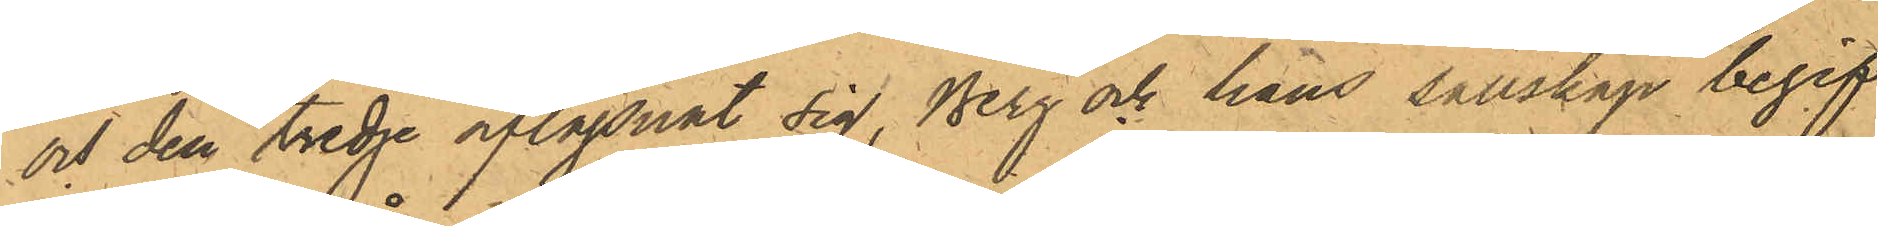och den tredje aflägsnat sig, Berg och häns sällskap begif¬
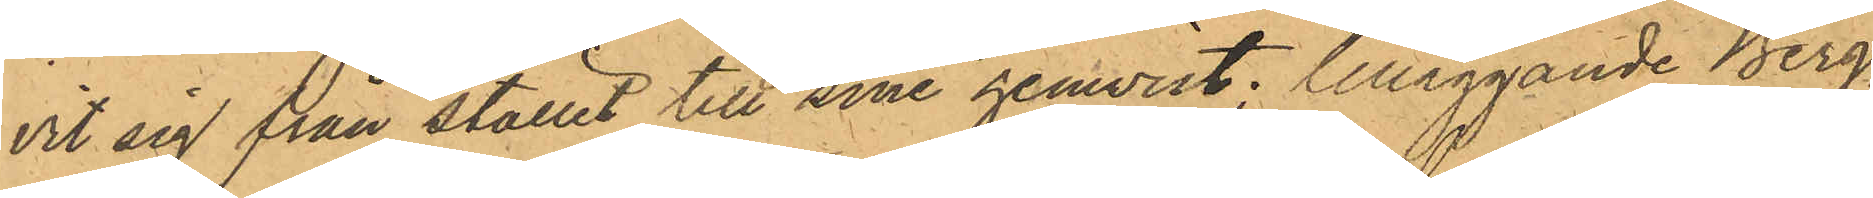vit sig från stället till sine hemvist; tilläggande Berg,
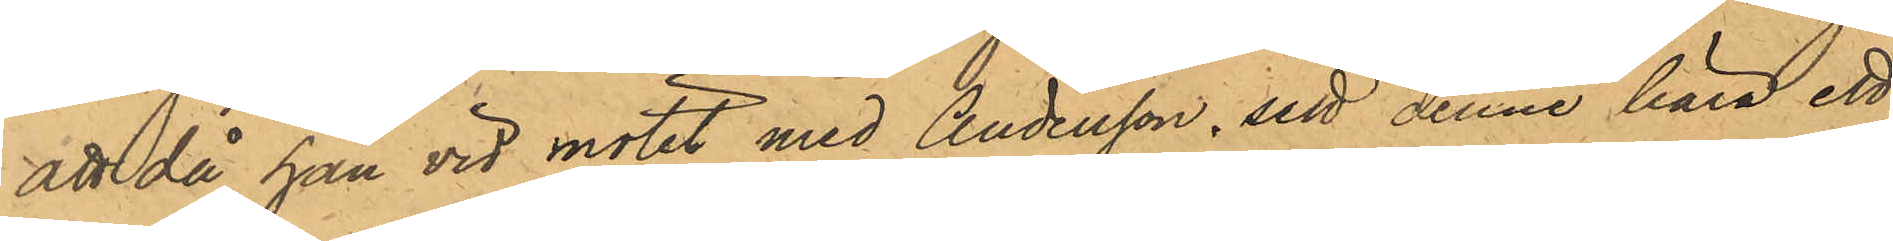att då han vid mötet med Andersson, sett denne bära ett
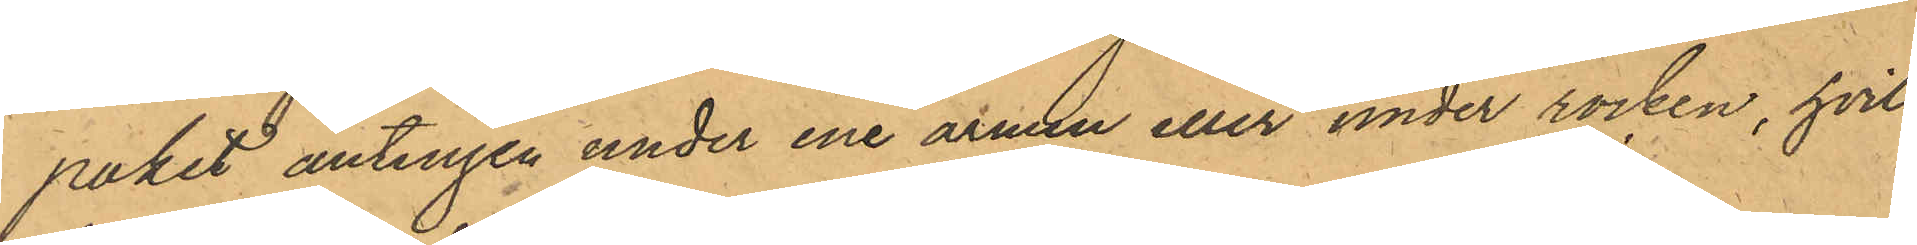paket antingen under ene armen eller under rocken, hvil¬
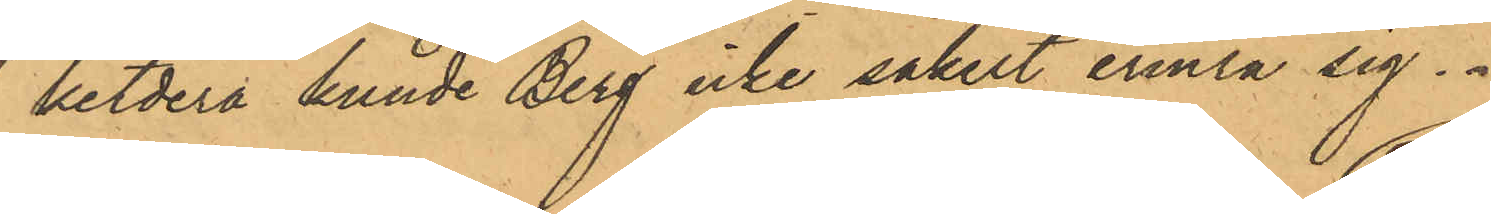betdera kunde Berg icke säkert erinra sig.
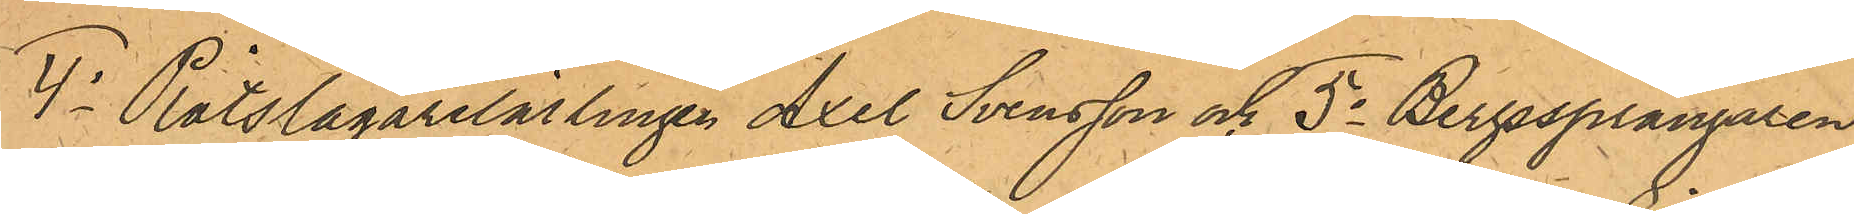4o Plåtslagarelärlingen Axel Svensson och 5o Bergssprängaren
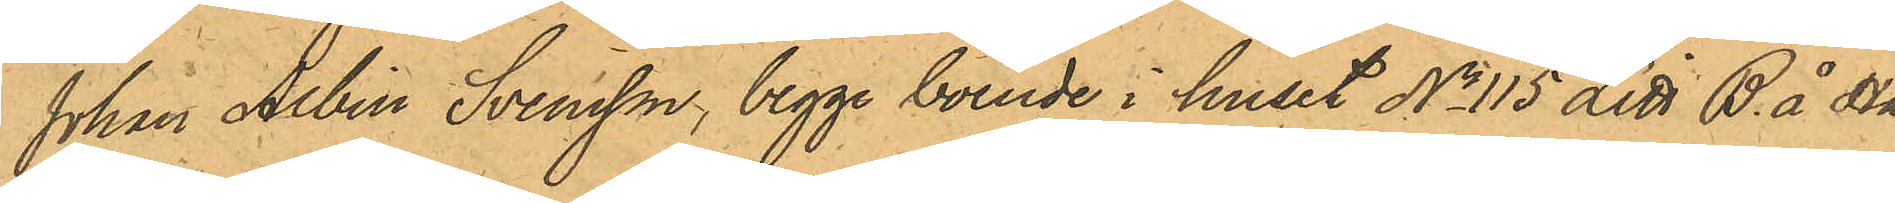Johan Albin Svensson, begge boende i huset No 115 Litt B. å Ha¬
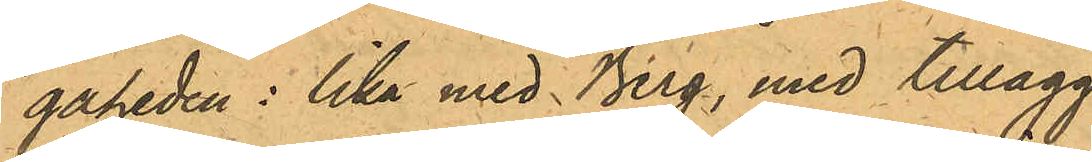gåheden: lika med Berg, med tillägg
